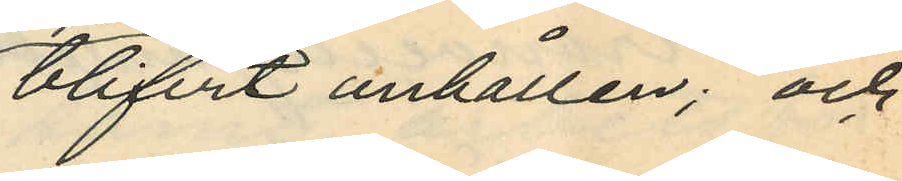blifvit anhållen; och
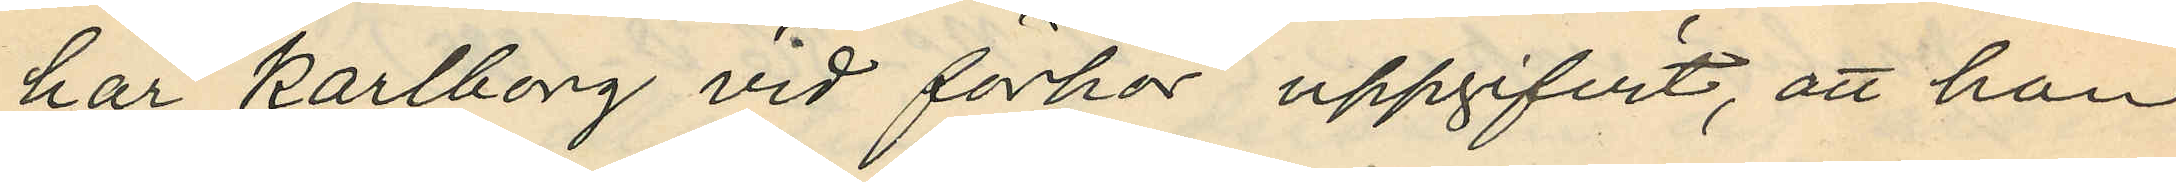har Karlborg vid förhör uppgifvit, att han
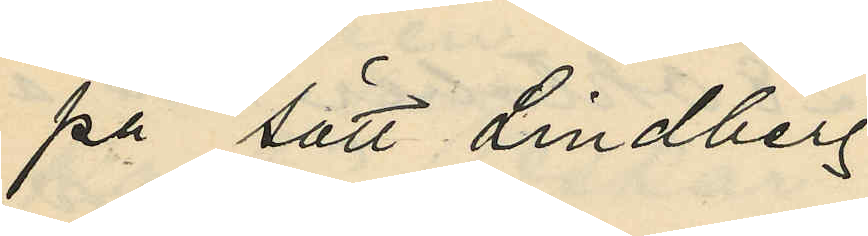på sätt Lindberg
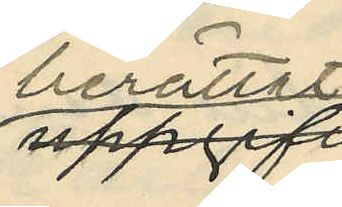berättat uppgifvit
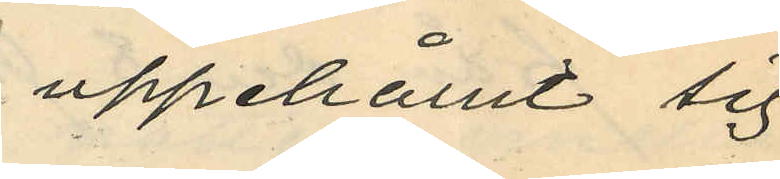uppehållit sig
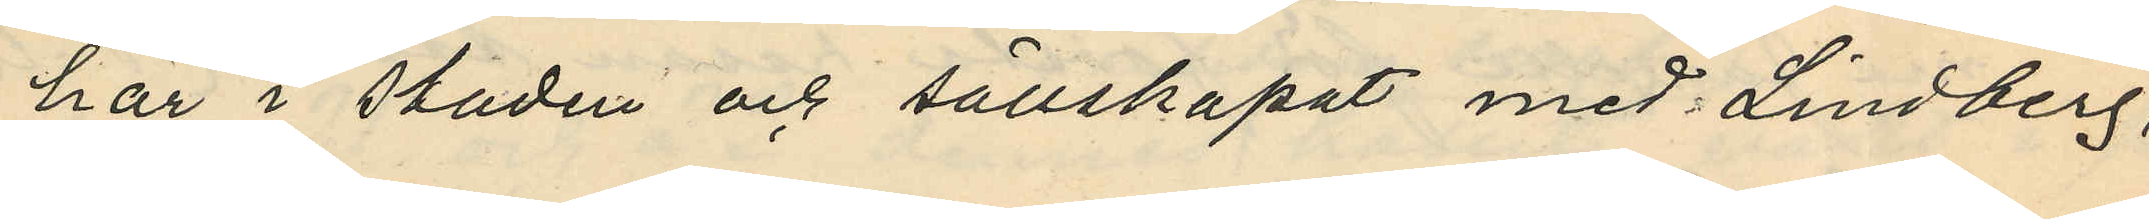här i staden och sällskapat med Lindberg,
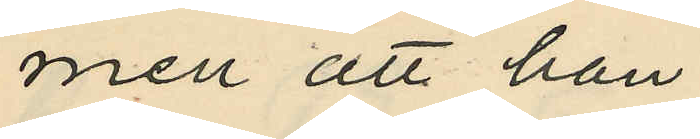men att han
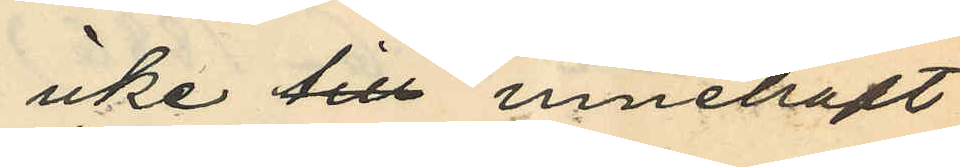icke till innehaft
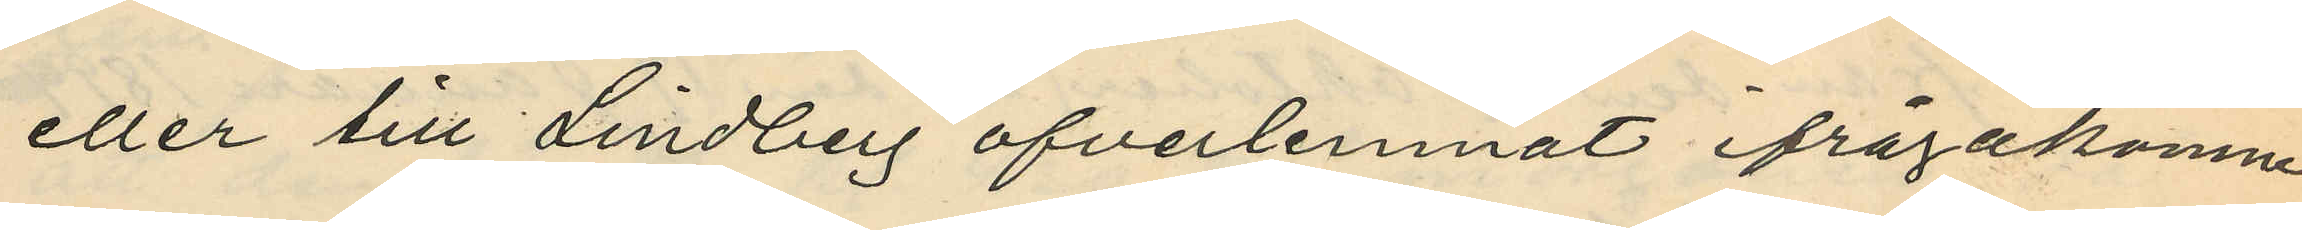eller till Lindberg öfverlemnat ifrågakomne
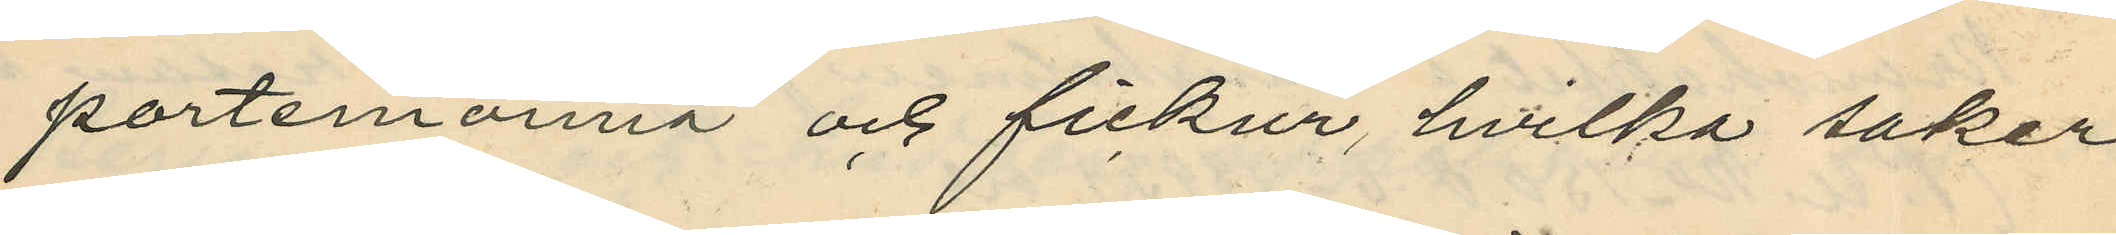portemonnä och fickur, hvilka saker
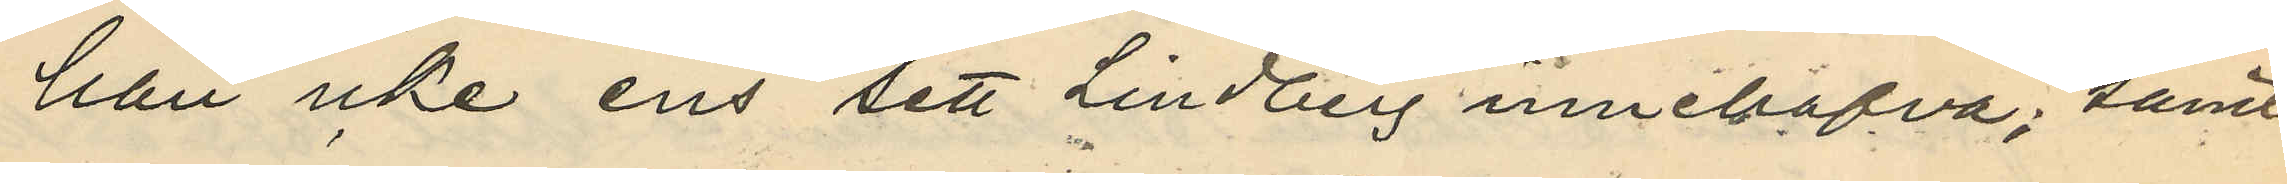han icke ens sett Lindberg innehafva; samt
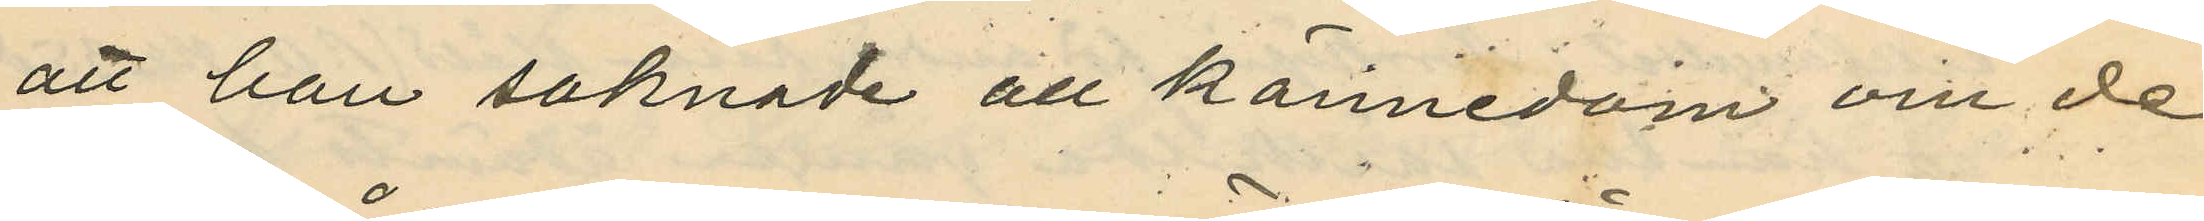att han saknade all kännedom om de
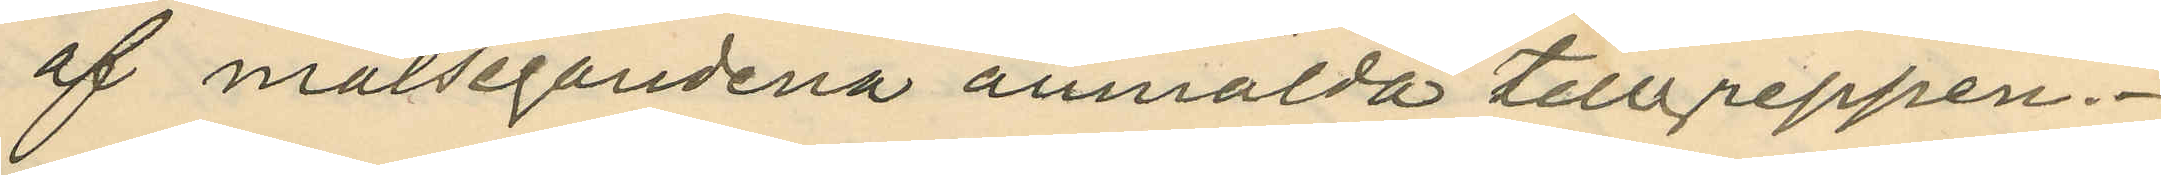af målsegandena anmälda tillgreppen.
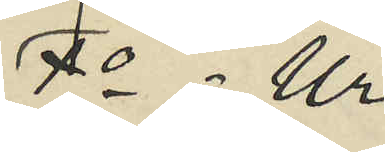1o - Ur
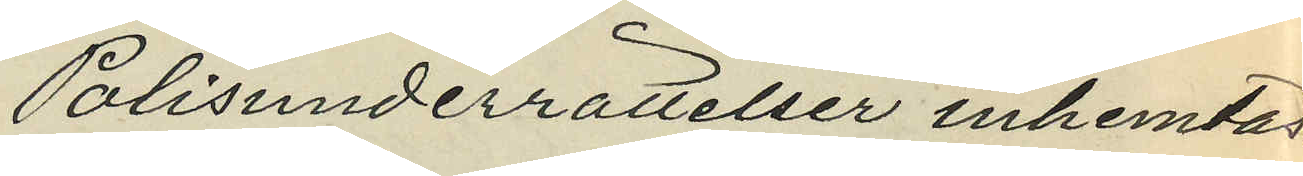Polisunderrättelser inhemtas:
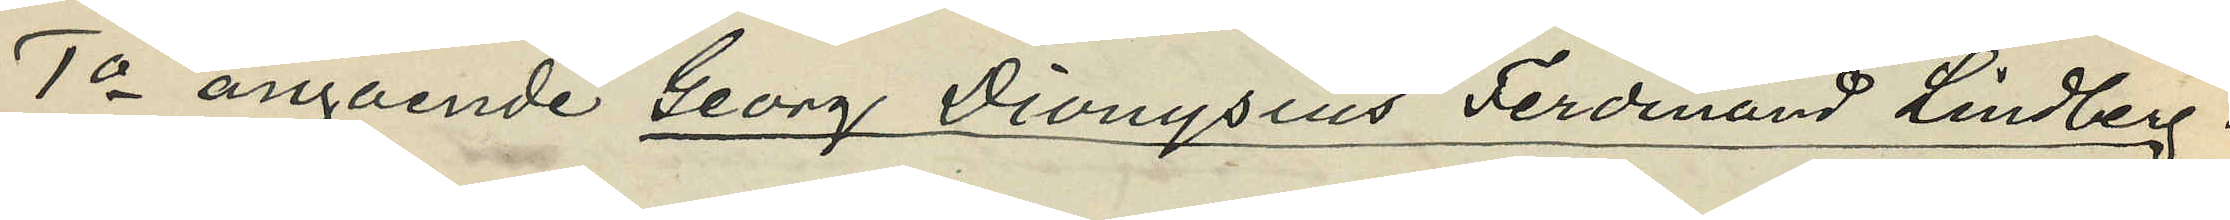1o angående Georg Dionysius Ferdinand Lindberg:
